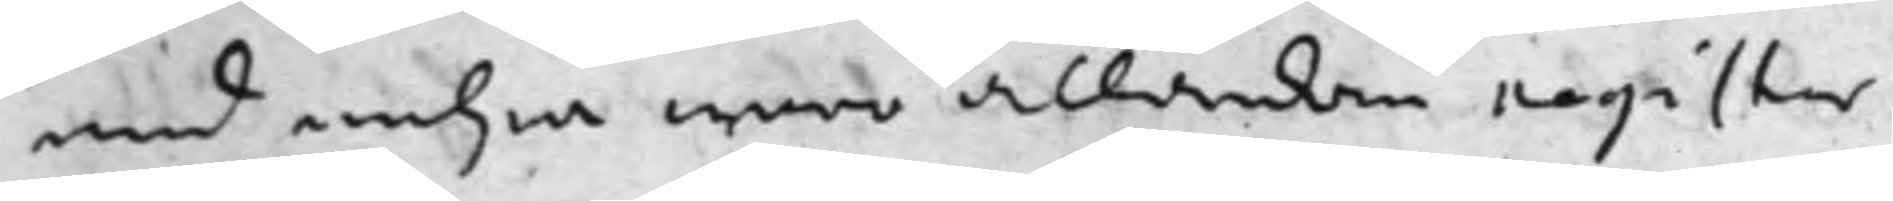med andra woro allaredan register
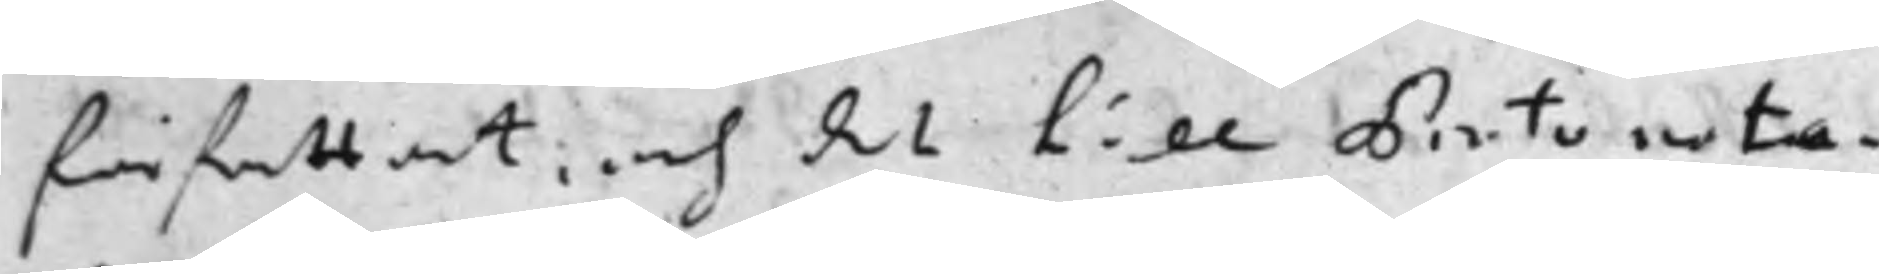författat, och det till Protonota¬
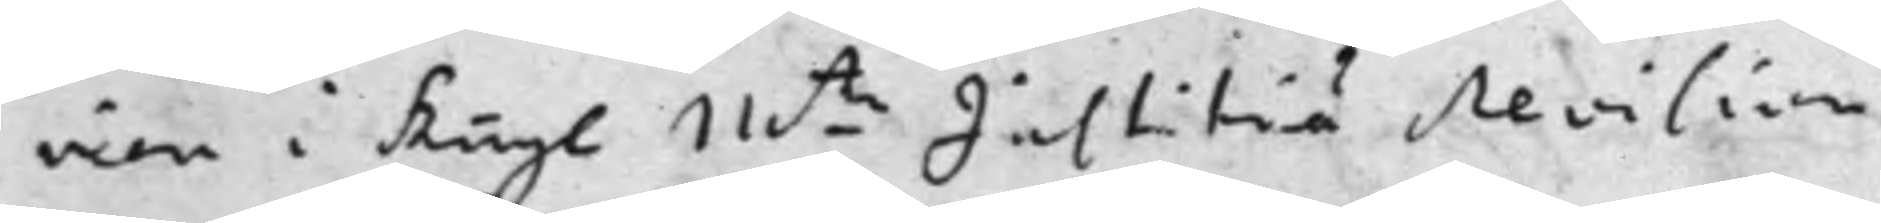rien i Kongl M.tz Justitiae revision
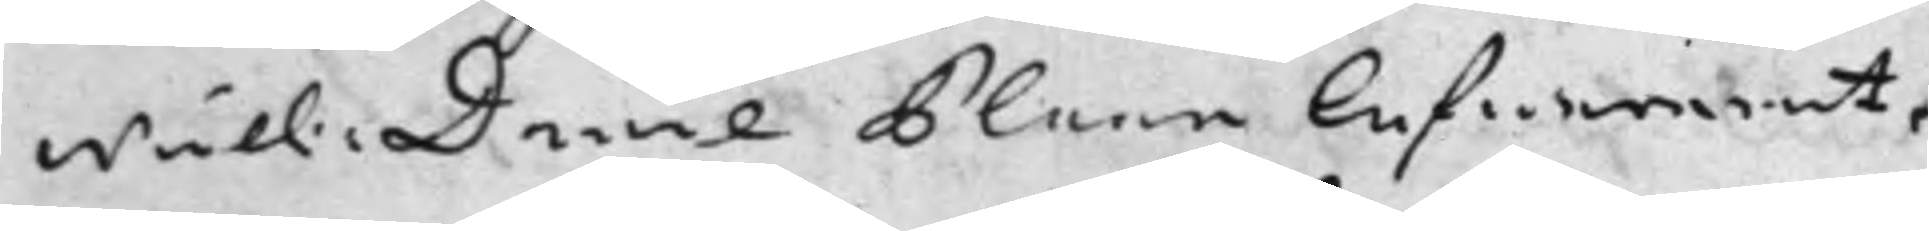Wäll. Daniel Plaan Lefwererat,
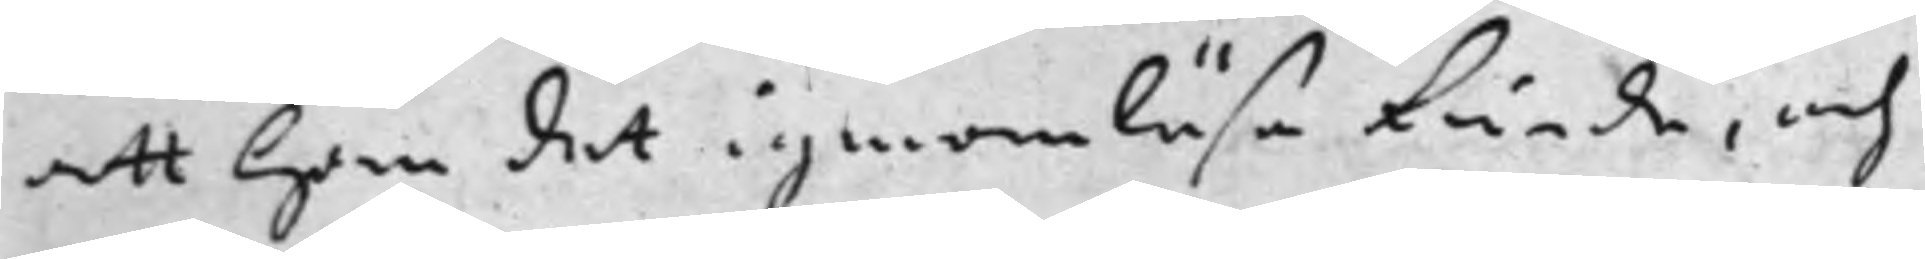att Han det igenom Läsa kunde, och
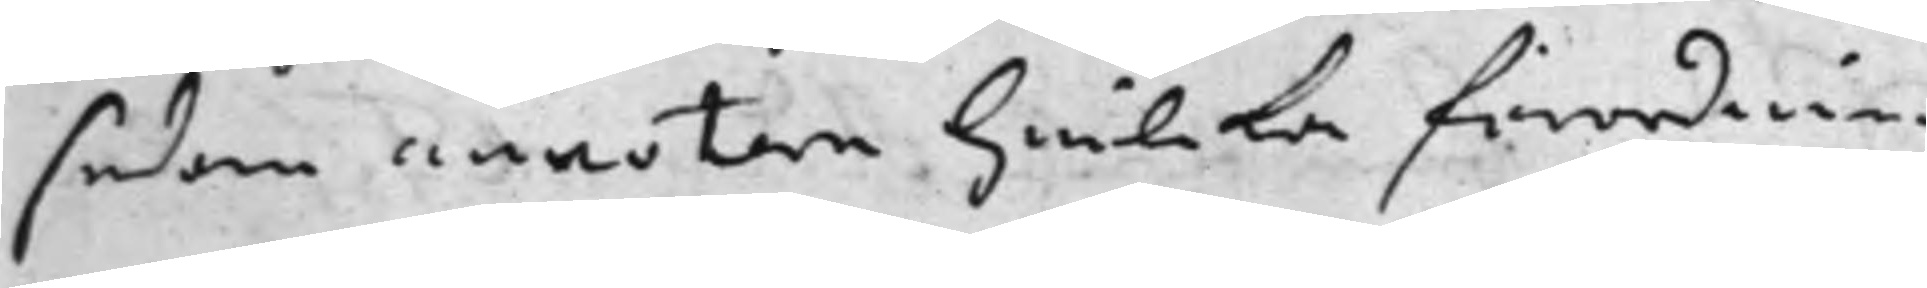sedan annotera hwilcka förordnin¬
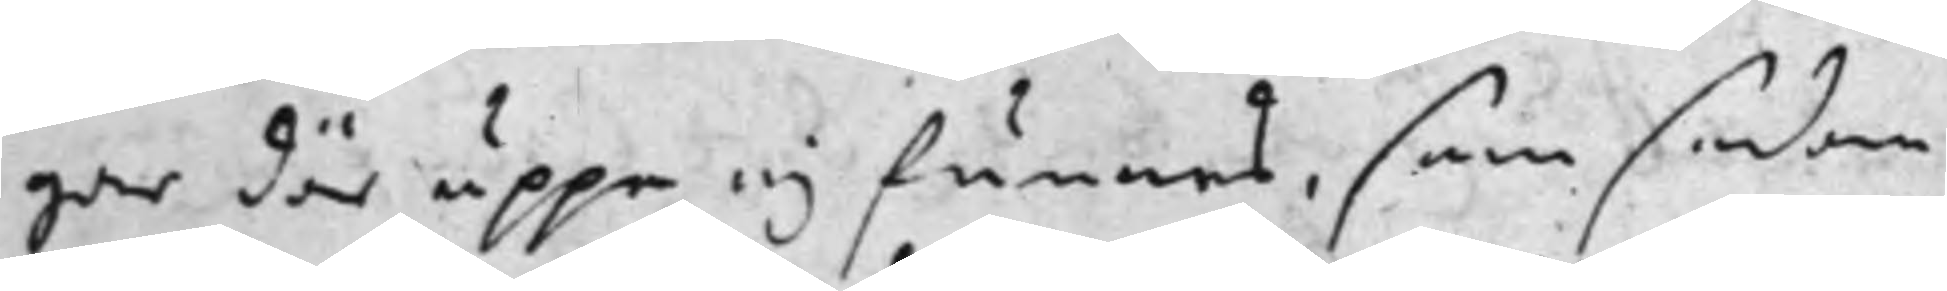gar där uppe ej funnos, som sedan
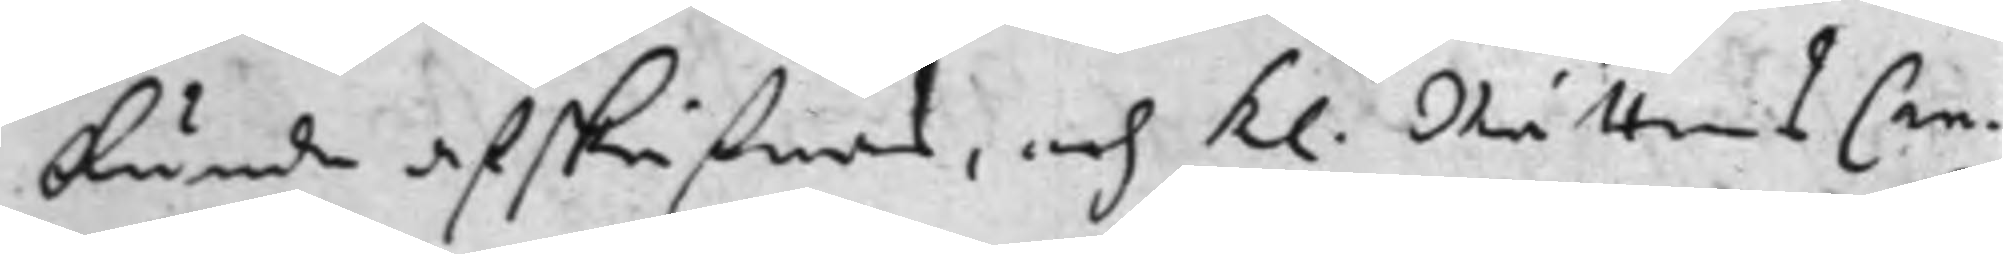kunde afskrifwas, och K. Rättens Can¬
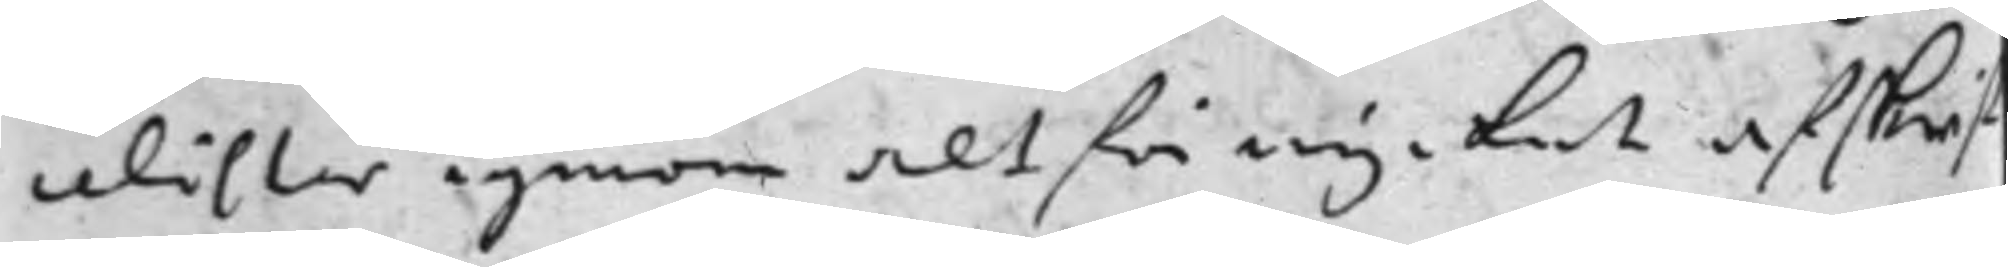celister igenom altför mycket afskrif¬
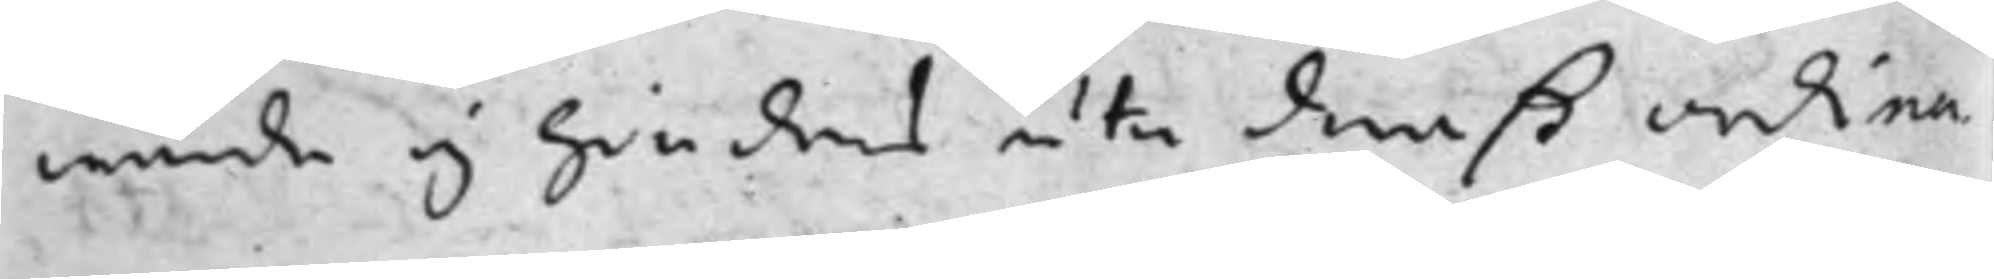wande ej hindras uti deraß ordina¬
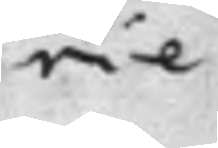rie
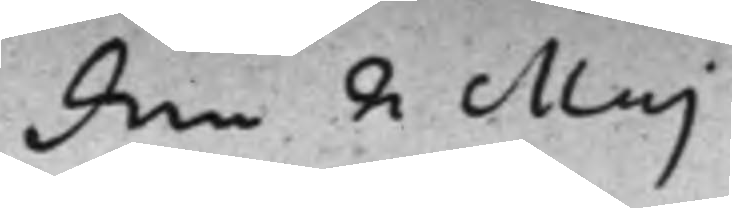den 2 Maj
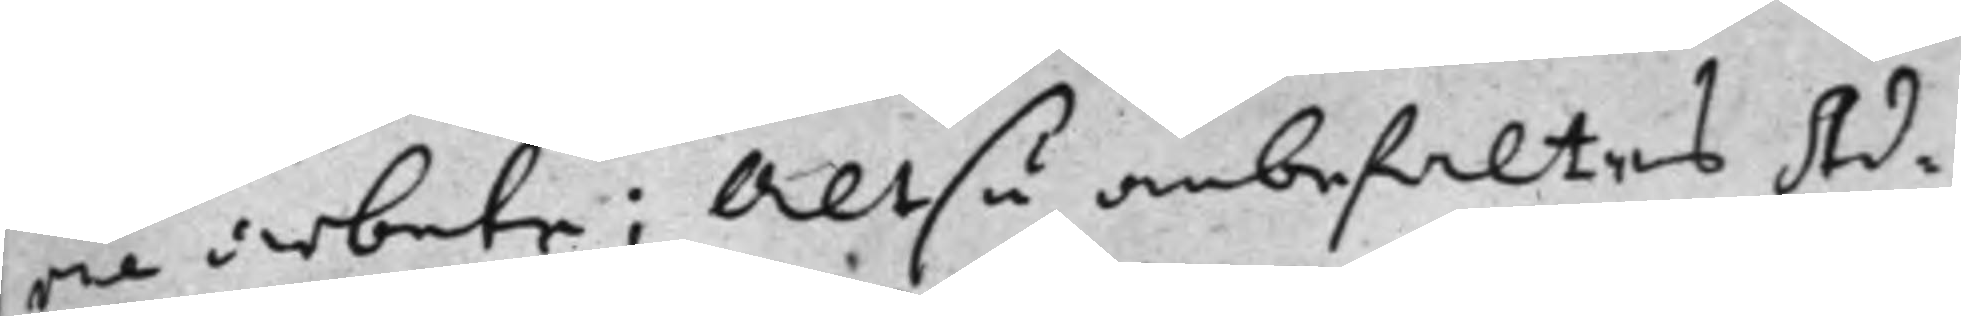rie arbete; Altså anbefaltes Ad¬
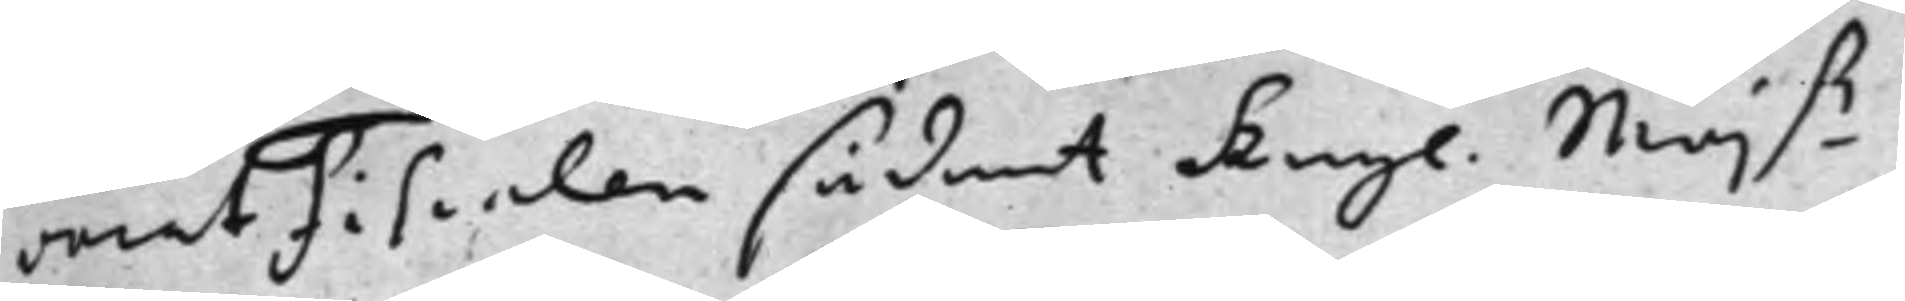vocatFiscalen sådant Kongl Maj.tz
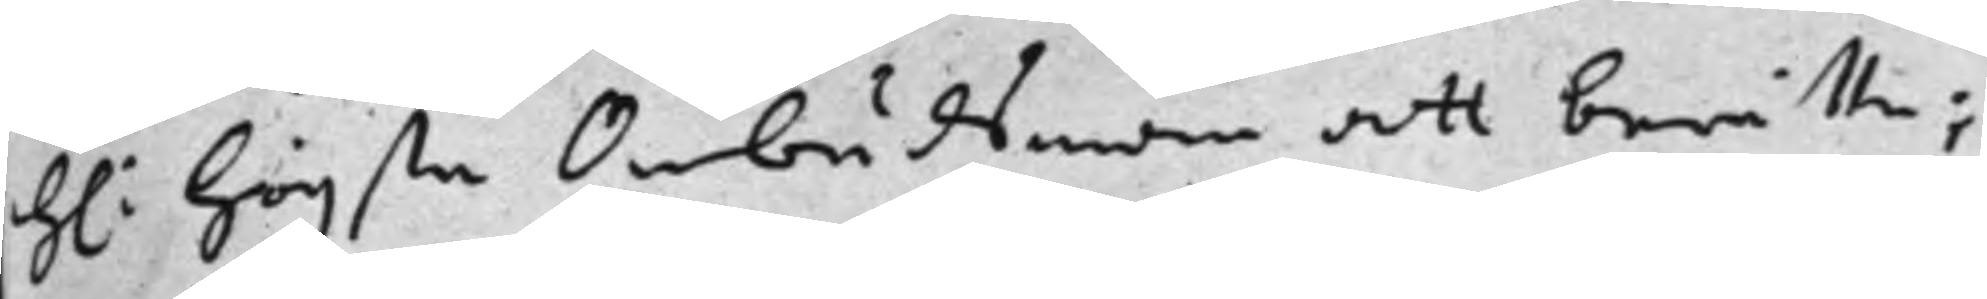H: högste Ombudsman att berätta;
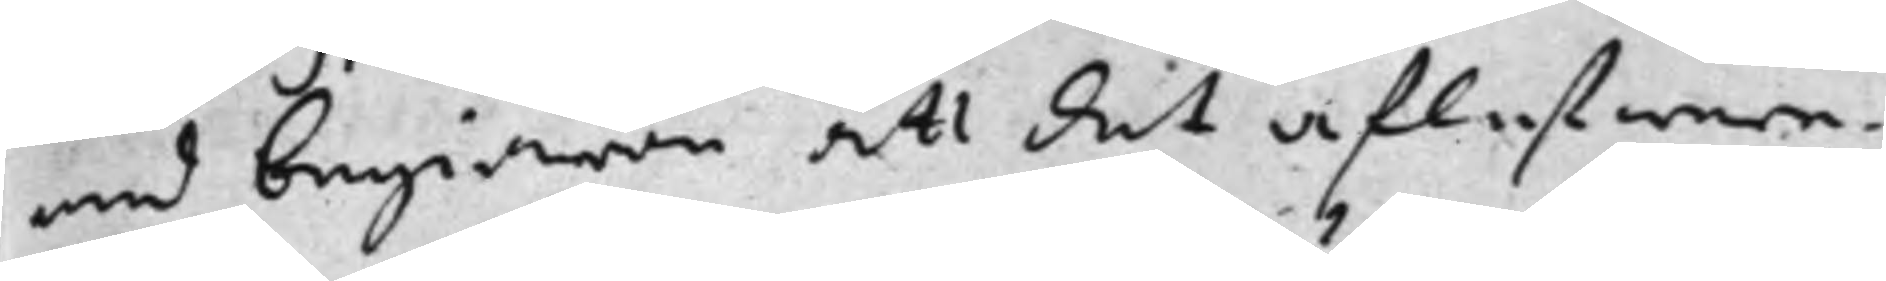med begiäran att det aflefwere¬
